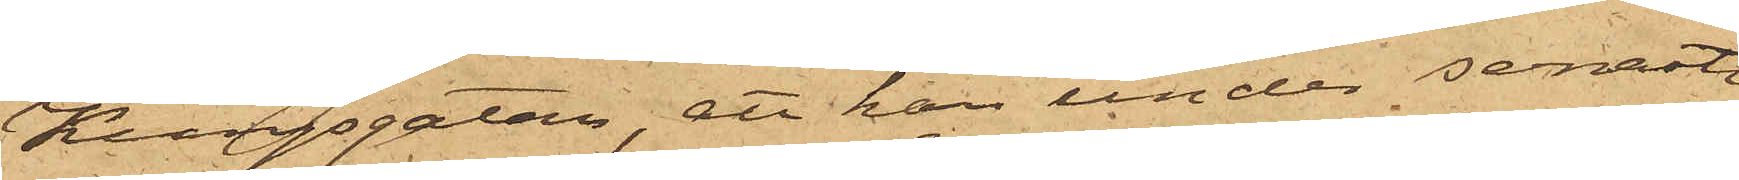Kungsgatan, att han under senast
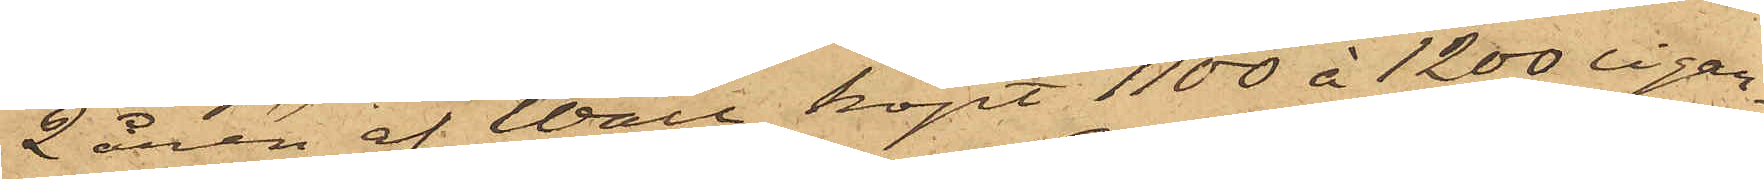2 åren af Wall köpt 1100 à 1200 cigar¬
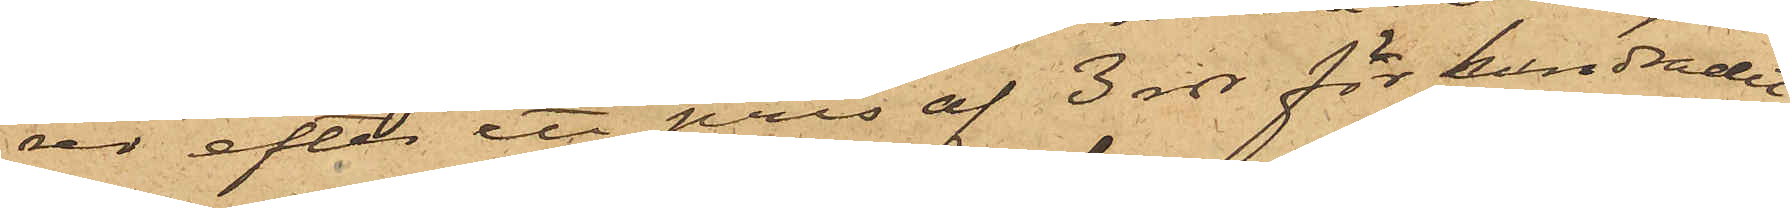rer efter ett pris af 3 rdr för hundradet;
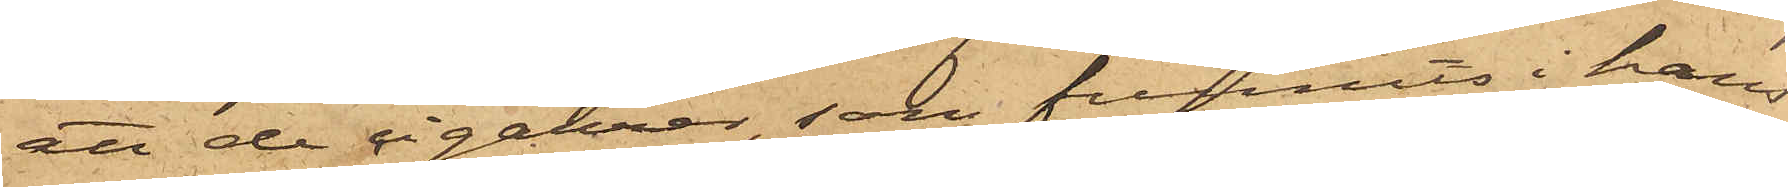att de cigarrer, som funnits i hans
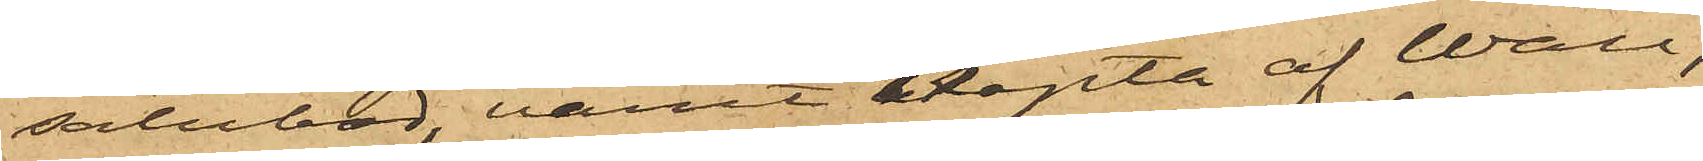salubod, varit köpta af Wall,
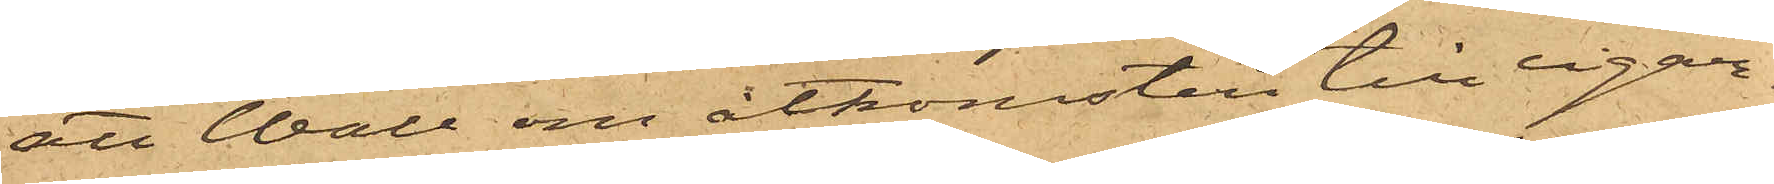att Wall om åtkomsten till cigar¬
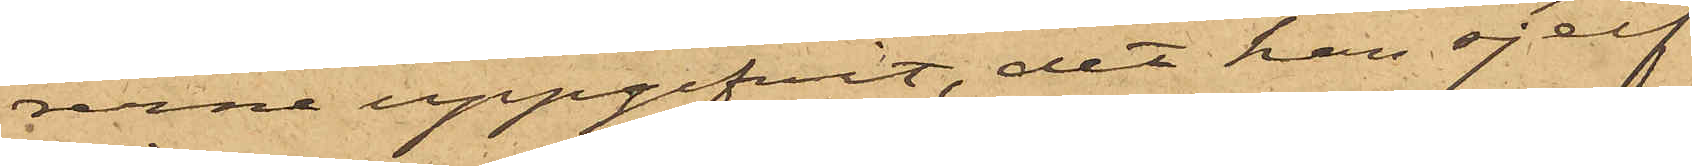rerne uppgifvit, det han sjelf
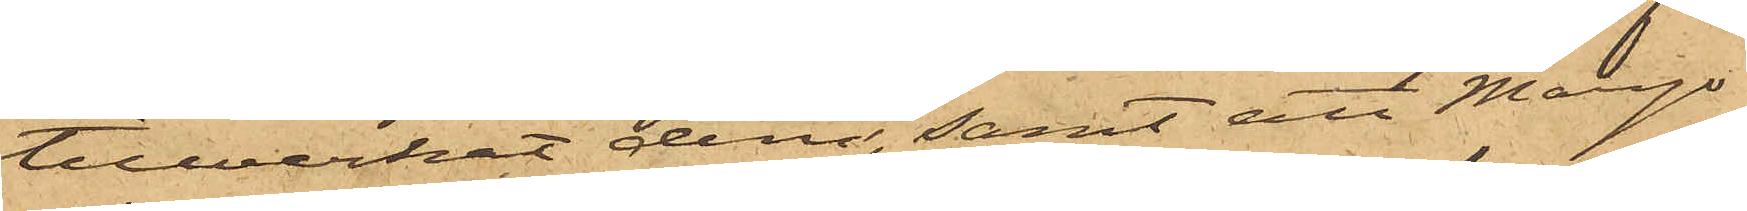tillverkat dem, samt att Margo¬
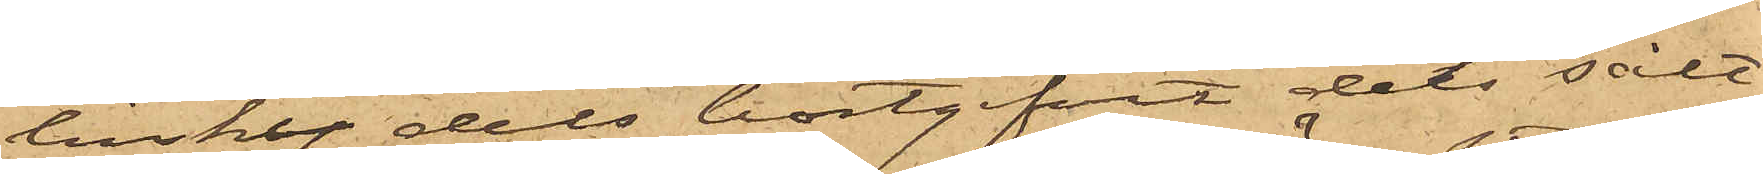linsky dels bortgifvit dels sålt
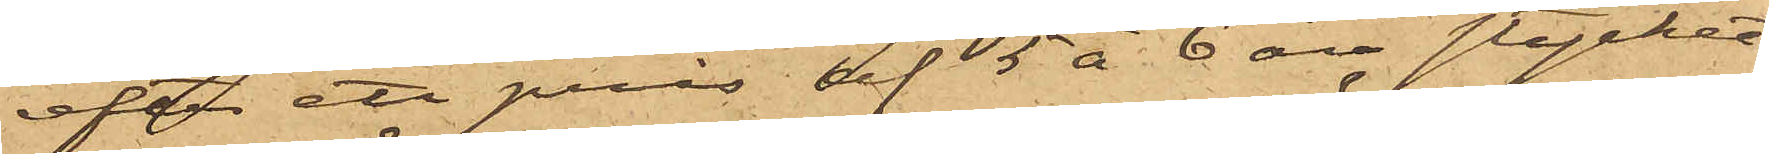efter ett pris af 5 á 6 öre stycket
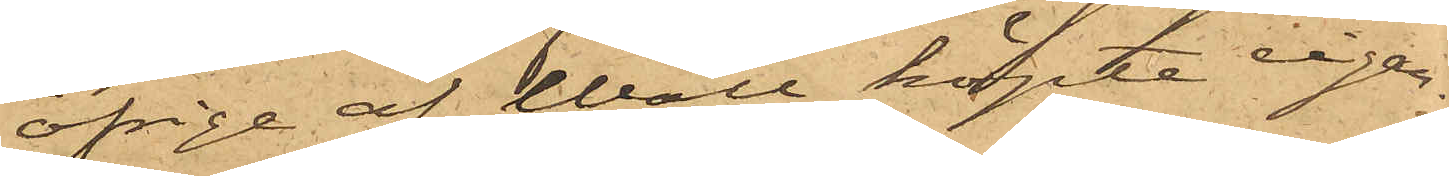öfrige af Wall köpte cigar¬
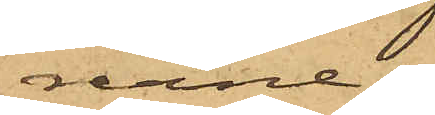rerne;
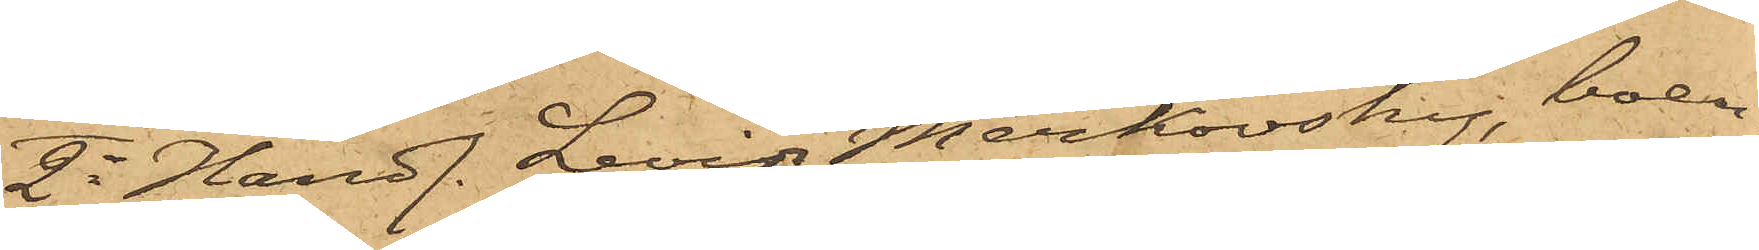2o Handl. Levin Merkovsky, boen¬
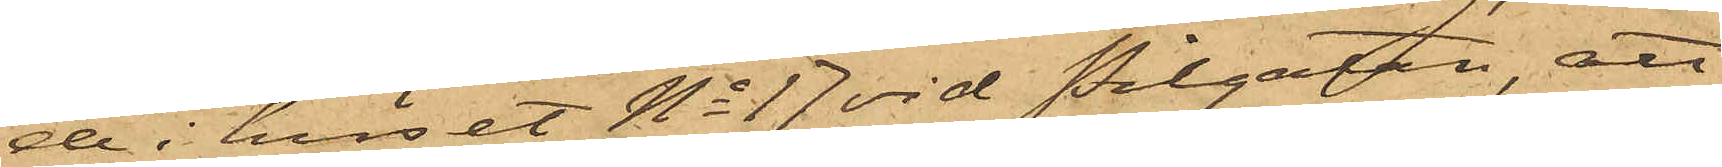de i huset No 17 vid Pilgatan, att
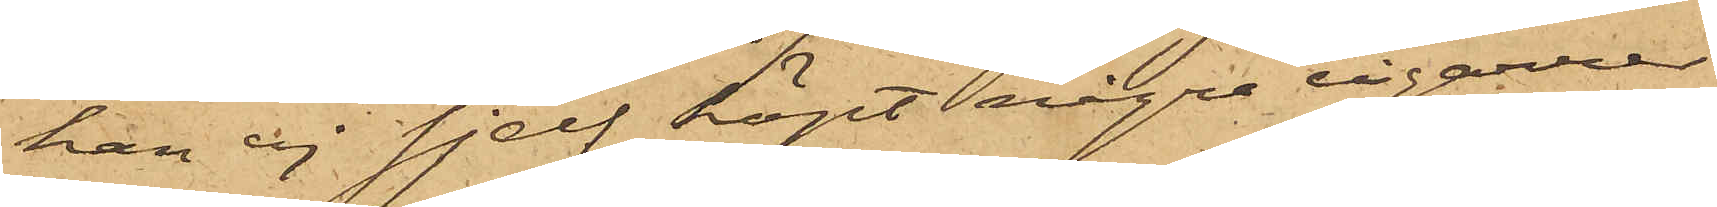han ej sjelf köpt några cigarrer
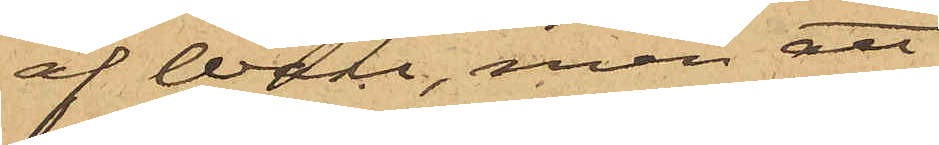af Wall, men att
